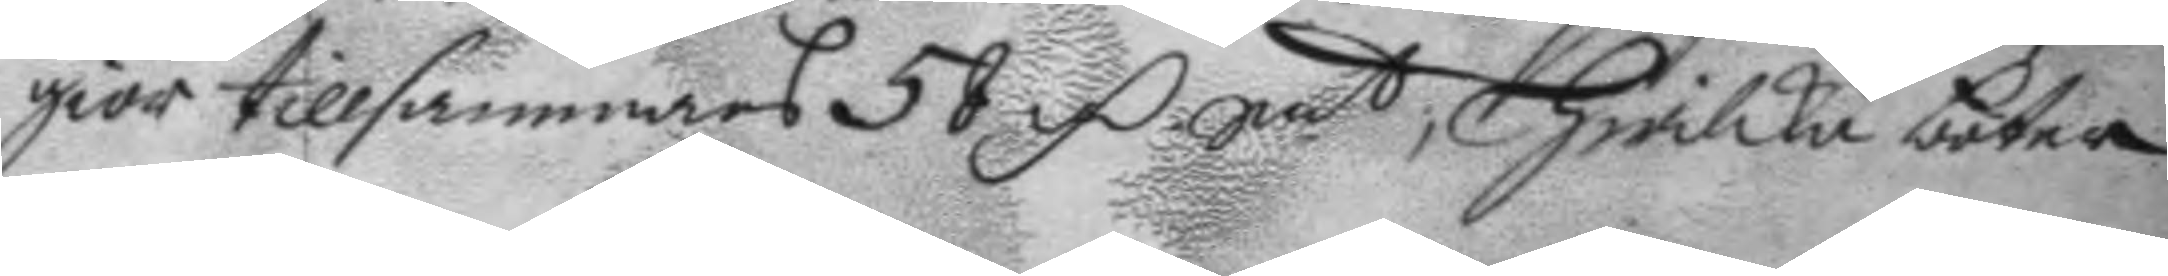giör tillsammans 58 mC Smt; hwilka boter
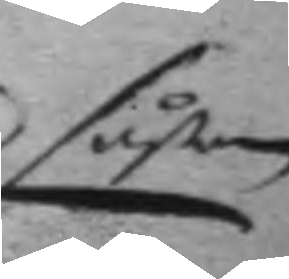såsom
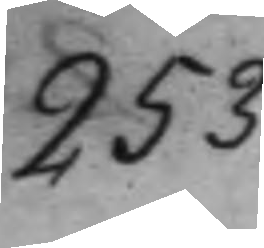253.
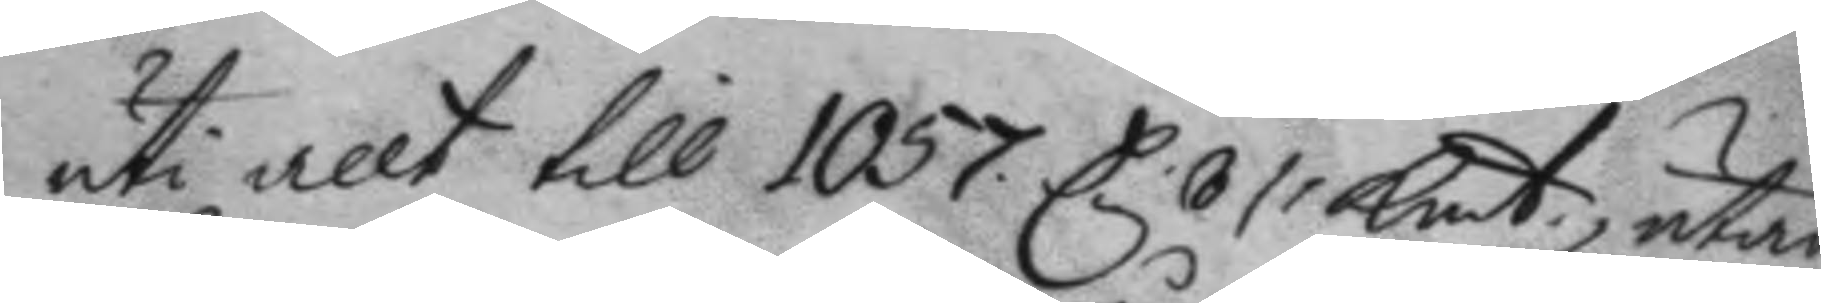uti allt till 1057 C 6 /: Kmt, utan
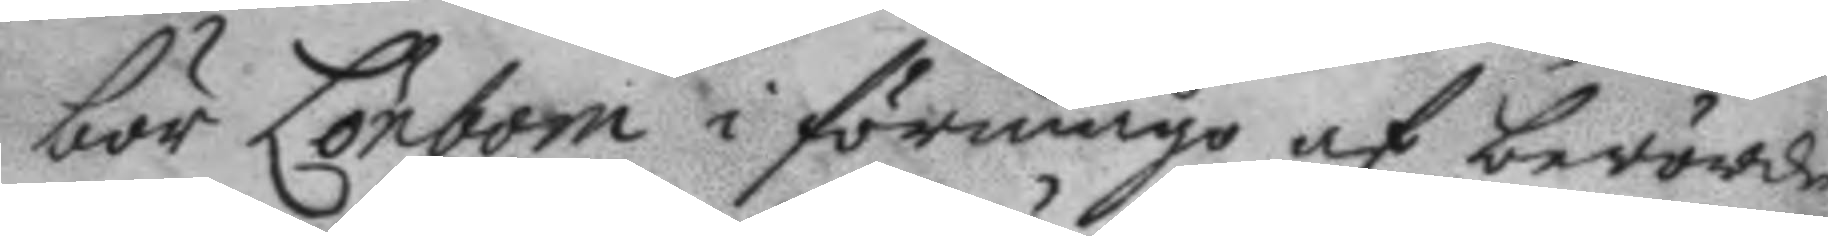bör Lönbom i förmågo af berörde
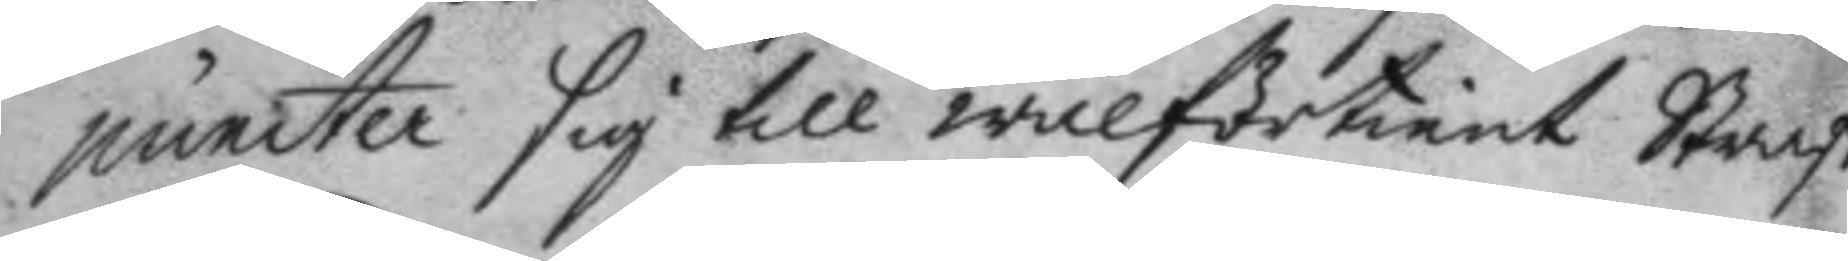puncter sig till wälförtient Straff
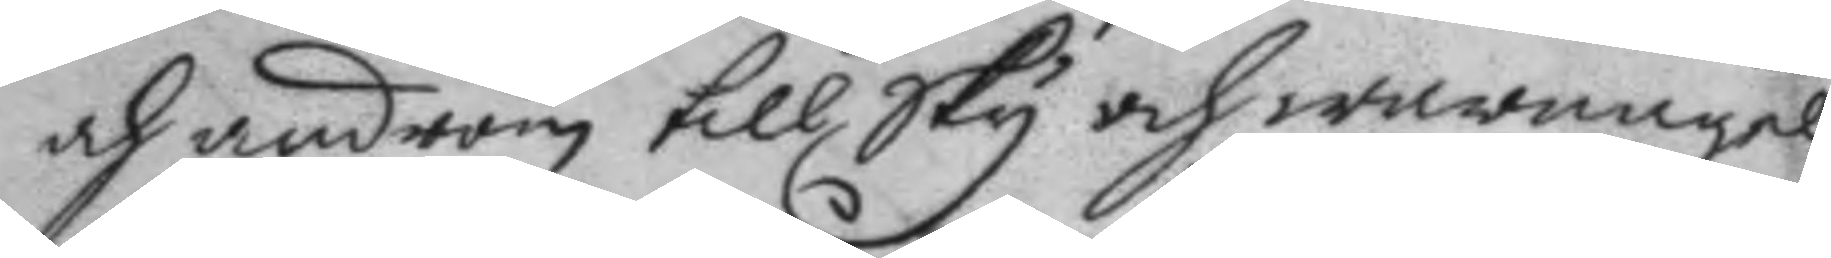och androm till Sky och warnagell
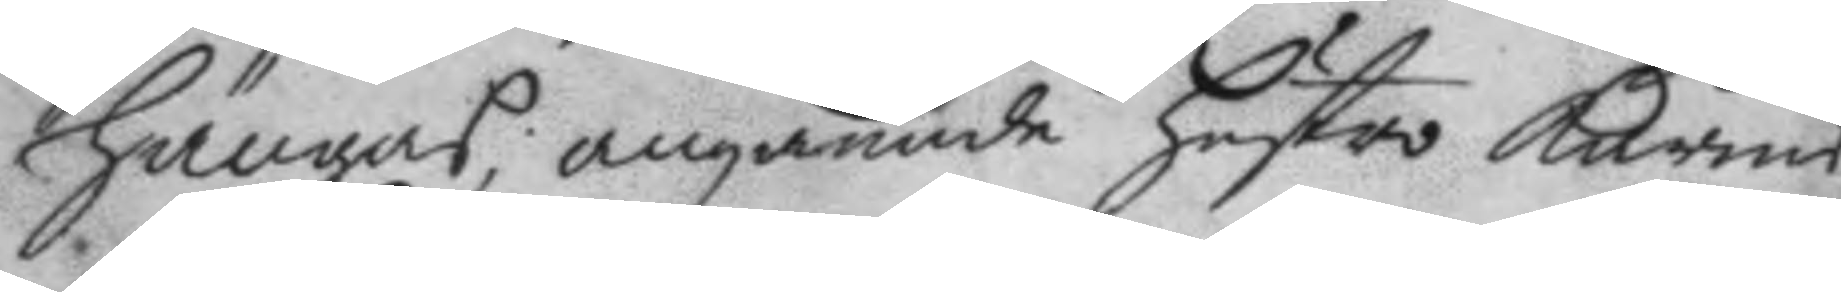hängas; angående hustro Karins
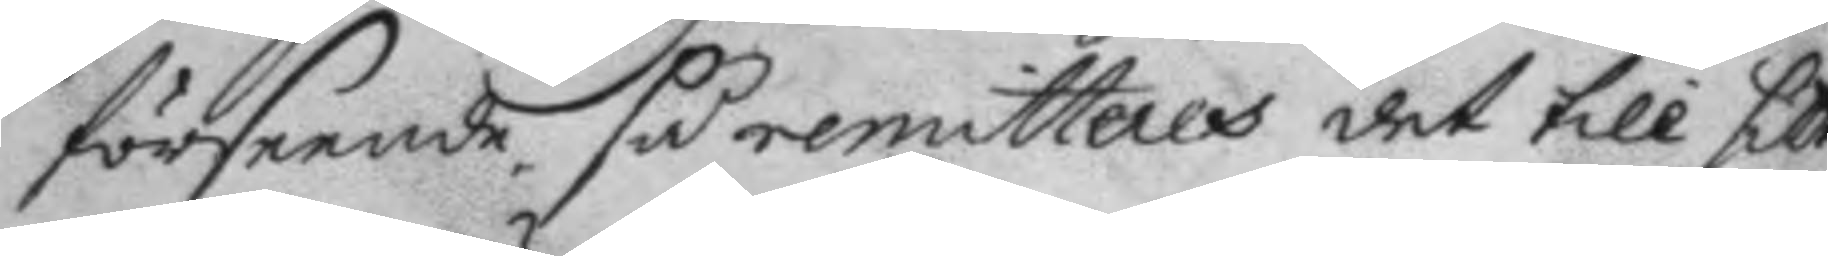förseende så remitteres det till sitt
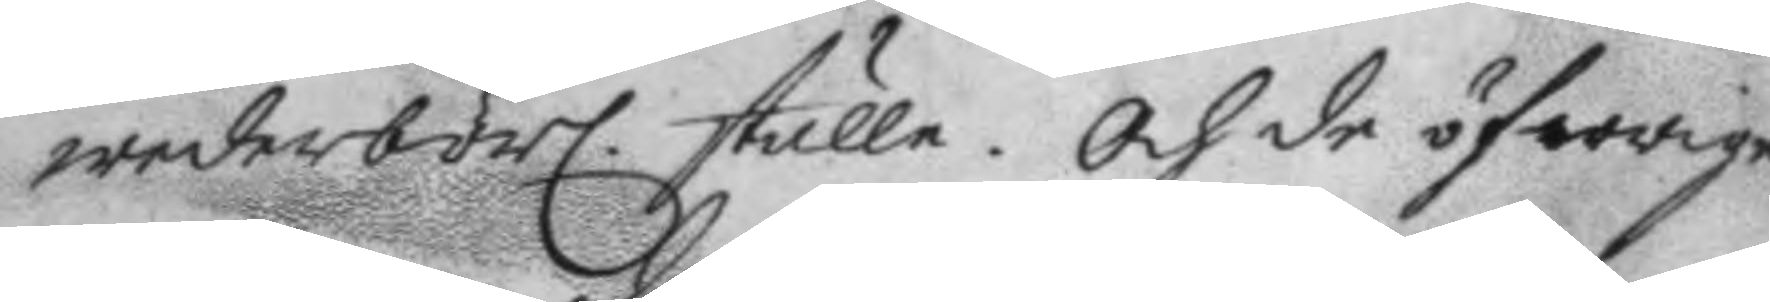wederbörl. ställe. Och de öfwrige
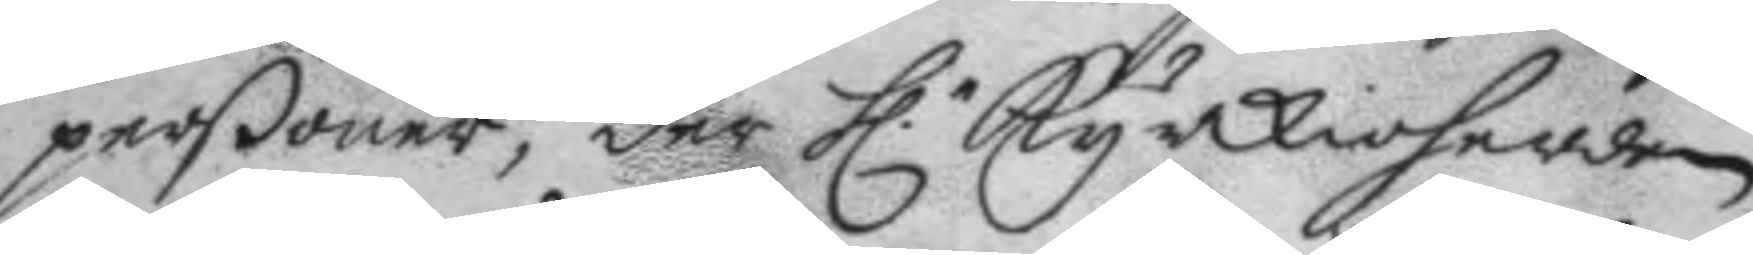perßoner, der h.r kyrkioherden
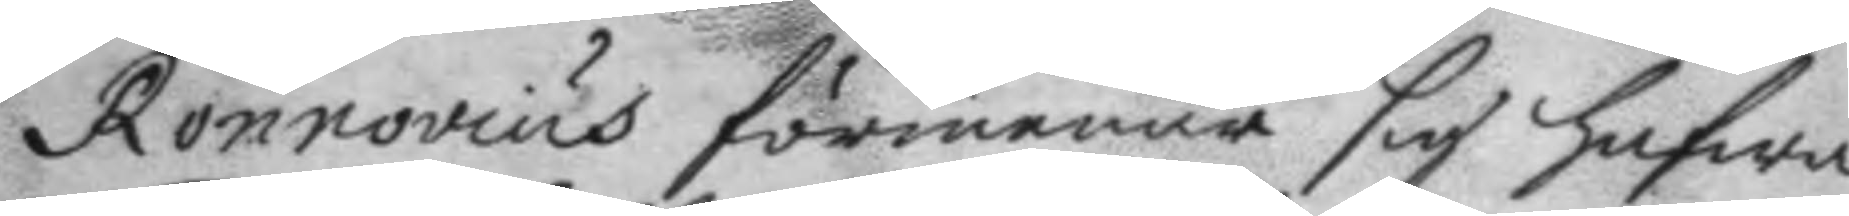Ronnovius förmenar sig hafwa
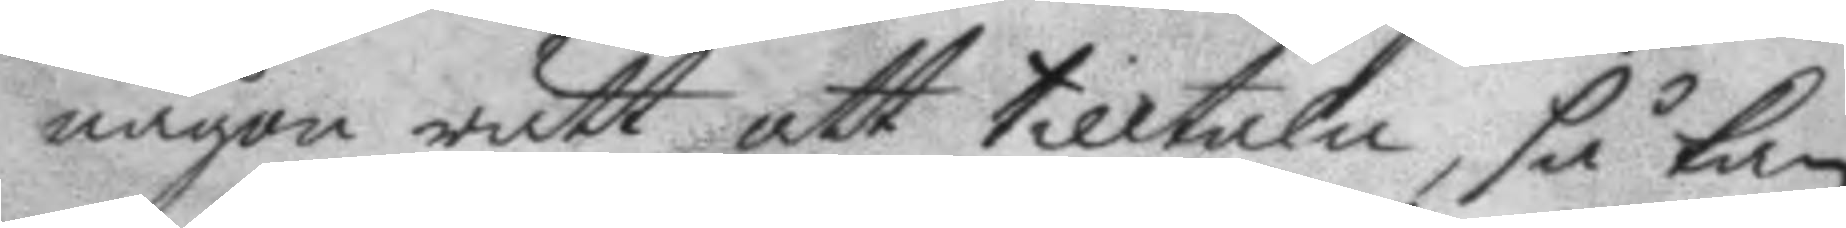någon rätt att tilltala, så kan
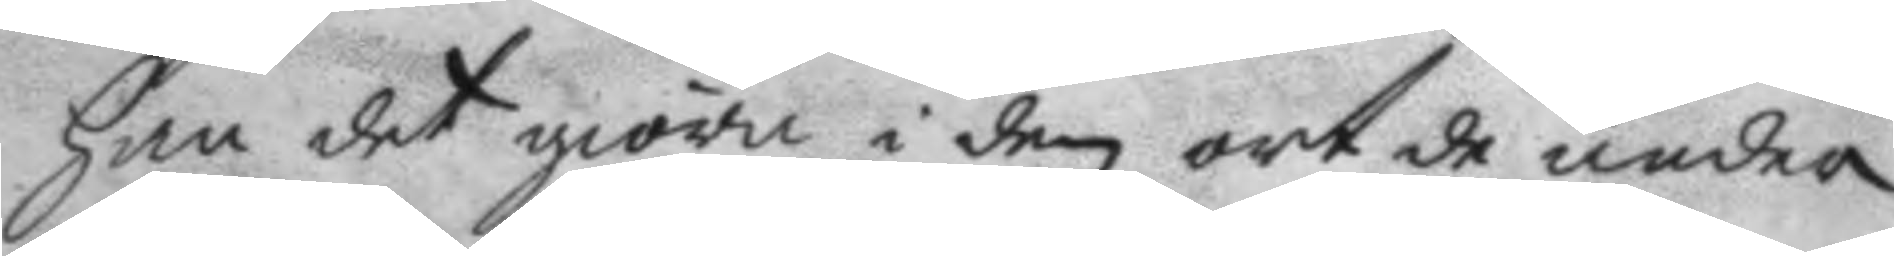han det giöra i den ort de under
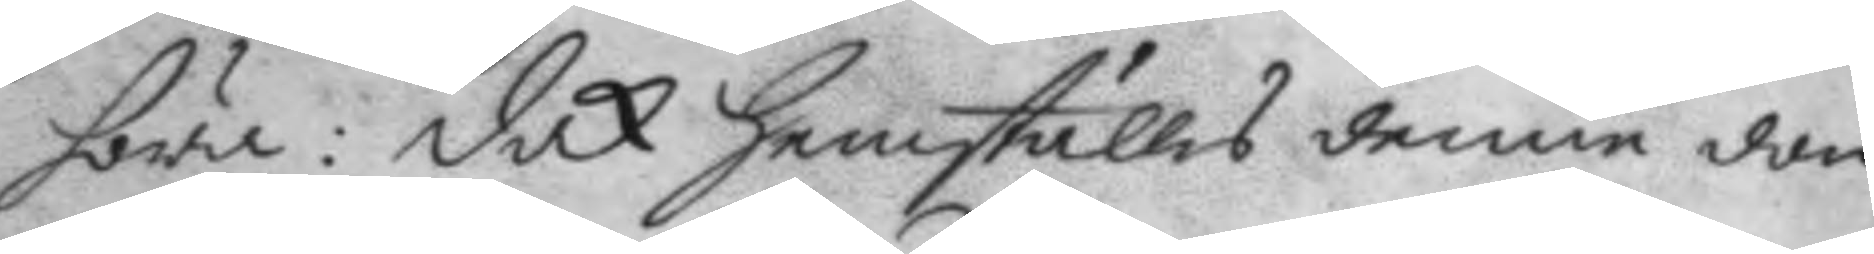höra: dock hemställes denne dom
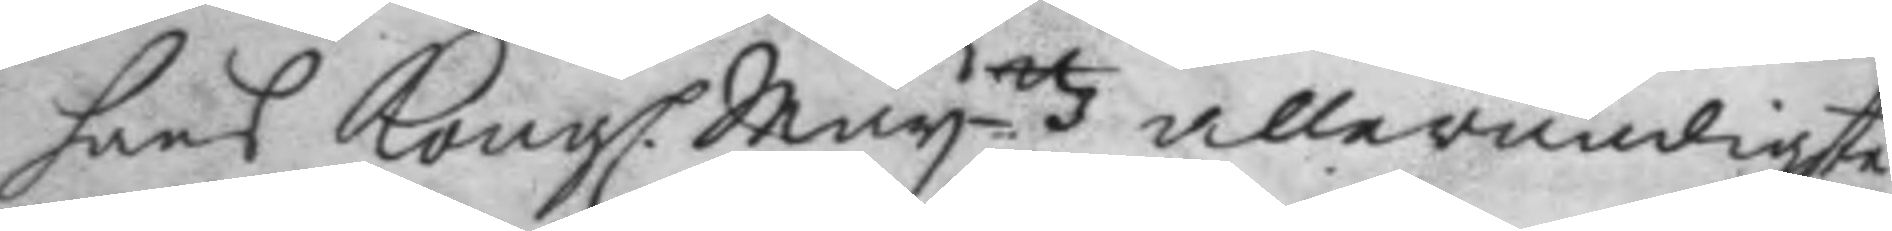hans Kongl. May.ttz allernådigste
